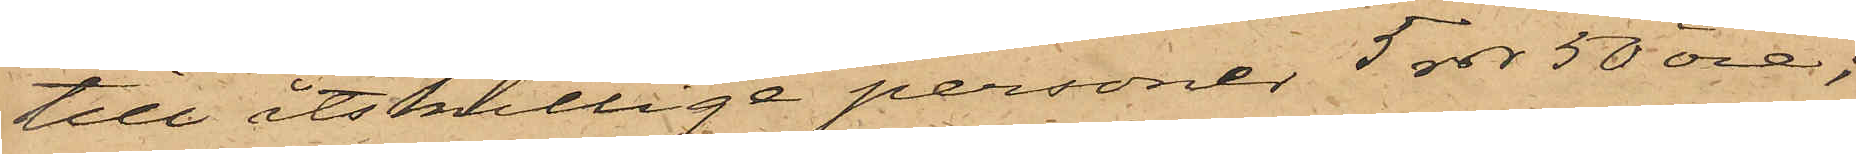till åtskillige personer 5 rdr 50 öre;
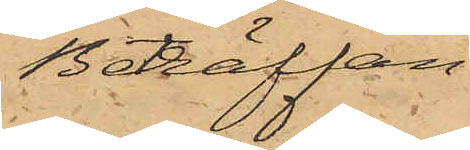Beträffan¬
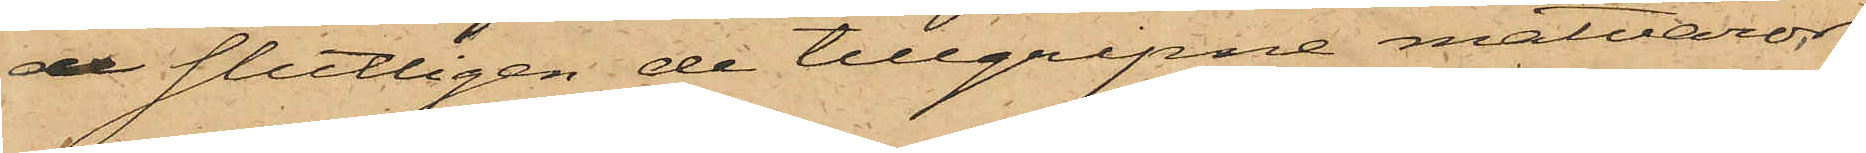de slutligen de tillgripne matvaror¬
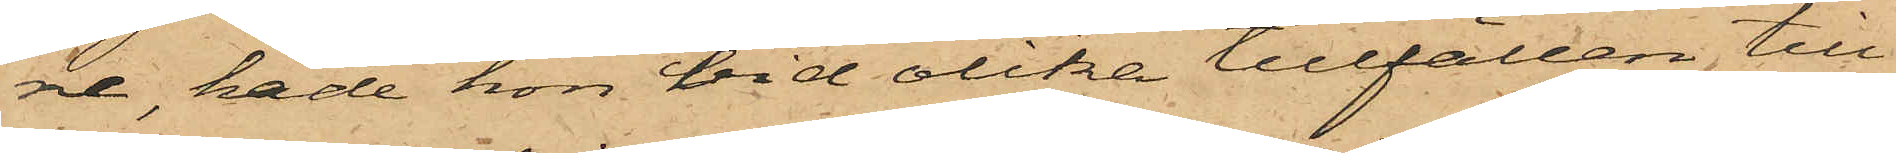ne, hade hon vid olika tillfällen till¬
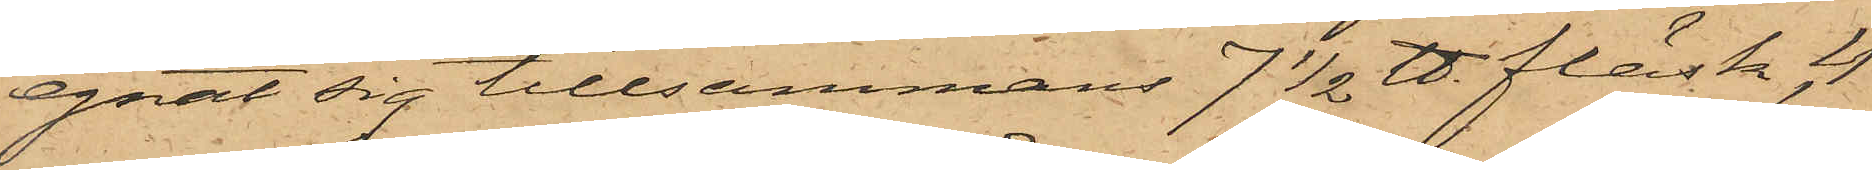egnat sig tillsammans 7 1/2 ℔ fläsk, 4
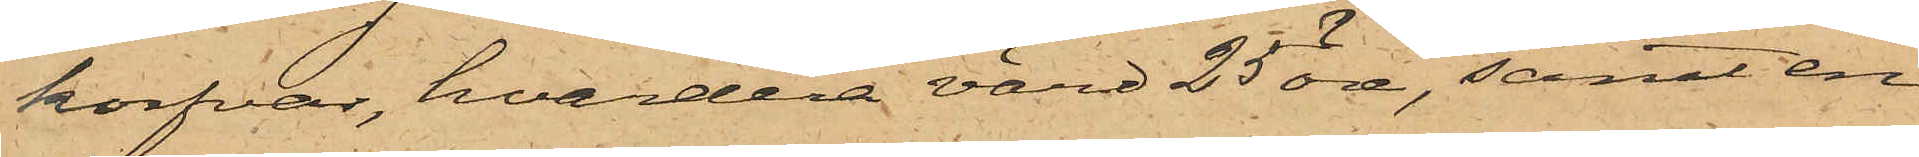korfvar, hvardera värd 25 öre, samt en
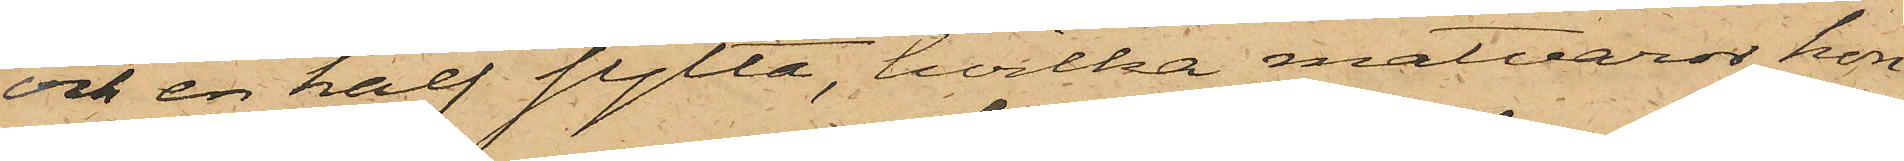och en half sylta, hvilka matvaror hon
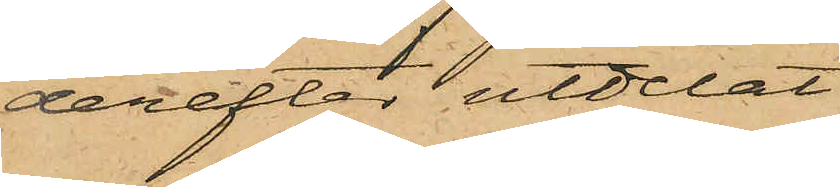derefter utdelat
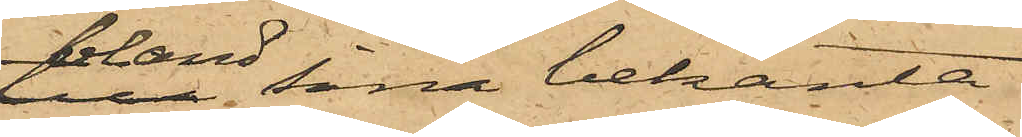bland sina bekanta.
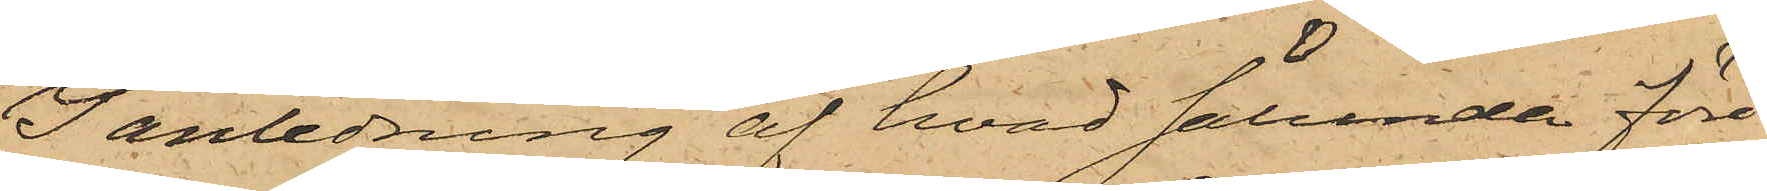I anledning af hvad sålunda före¬
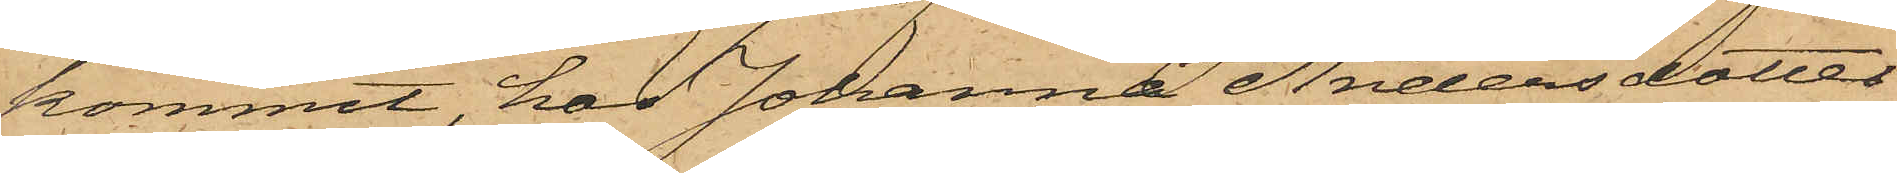kommit, har Johanna Andersdotter
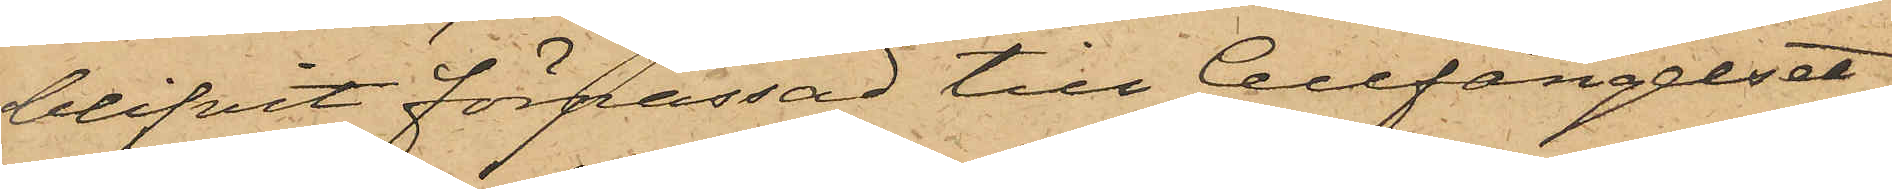blifvit förpassad till Cellfängelset,
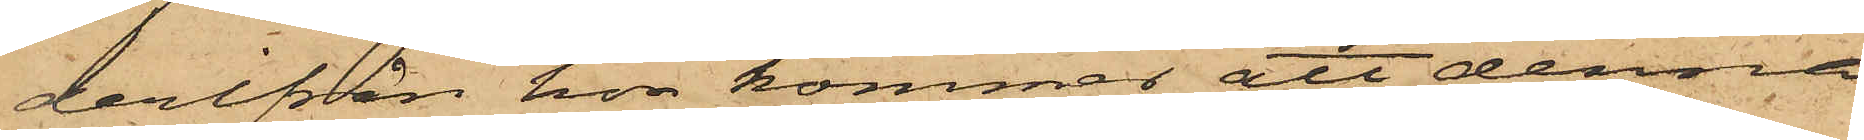derifrån hon kommer att denna
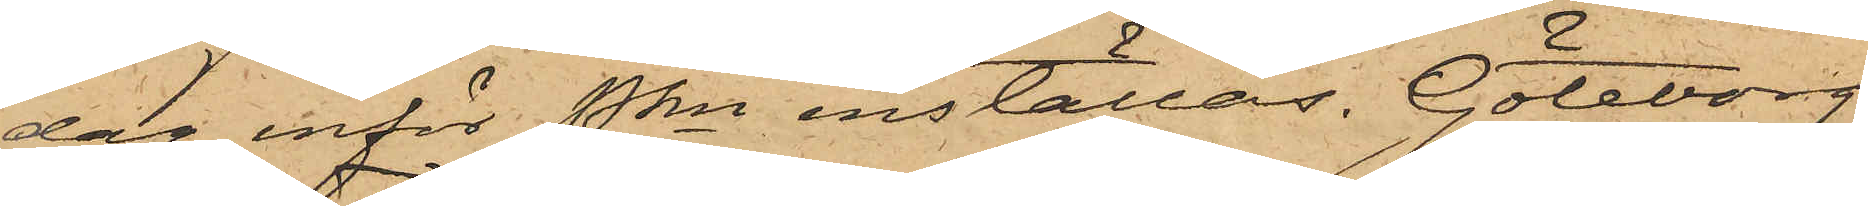dag inför Pkn inställas. Göteborg
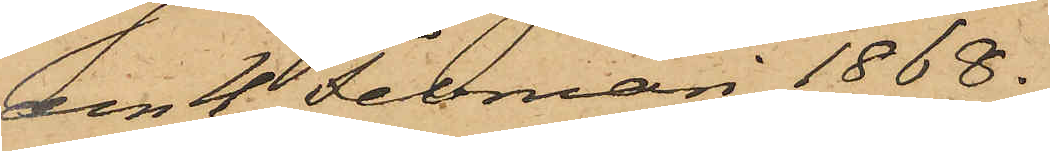den 4 Februari 1868.
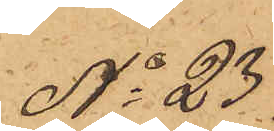No 23
